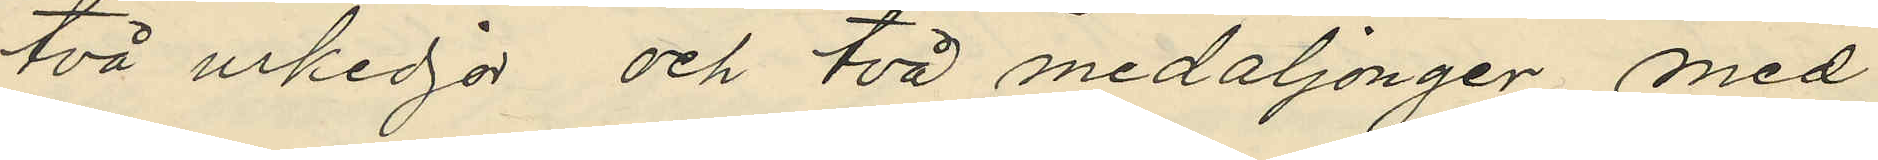två urkedjor och två medaljonger med
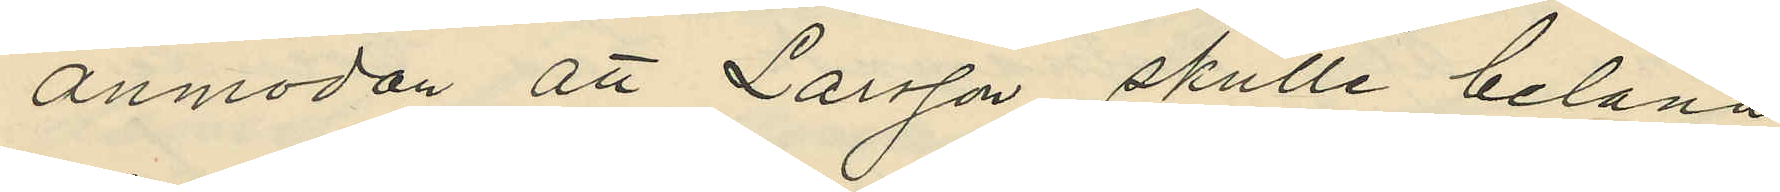anmodan att Larsson skulle belåna
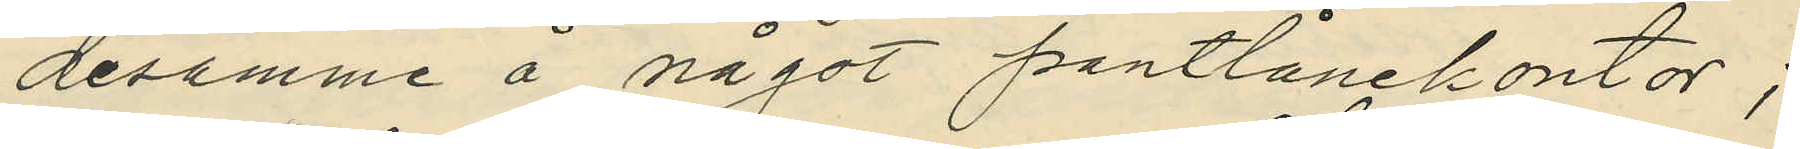desamme å något pantlånekontor;
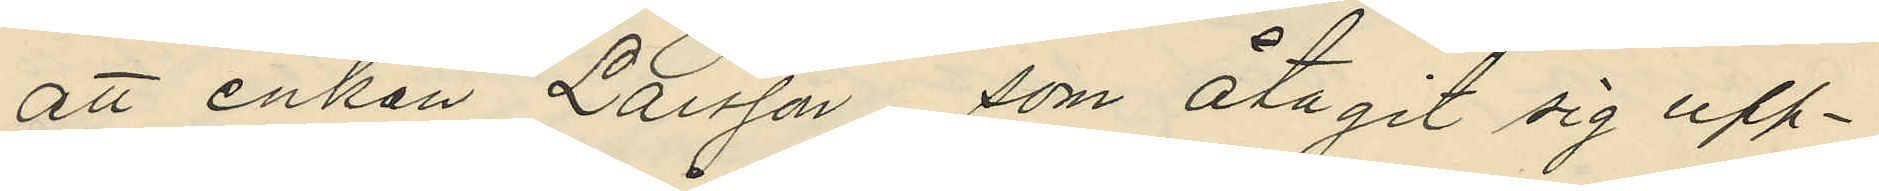att enkan Larsson, som åtagit sig upp¬
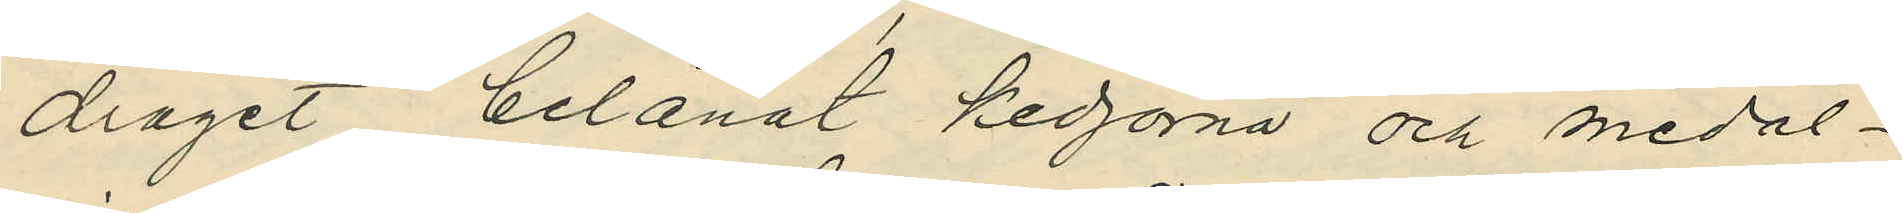draget, belånat kedjorna och medal¬
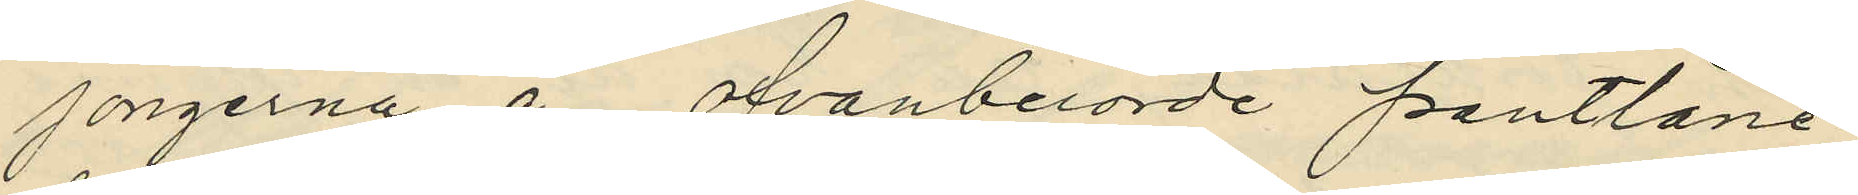jongerna å ofvanberörde pantlåne¬
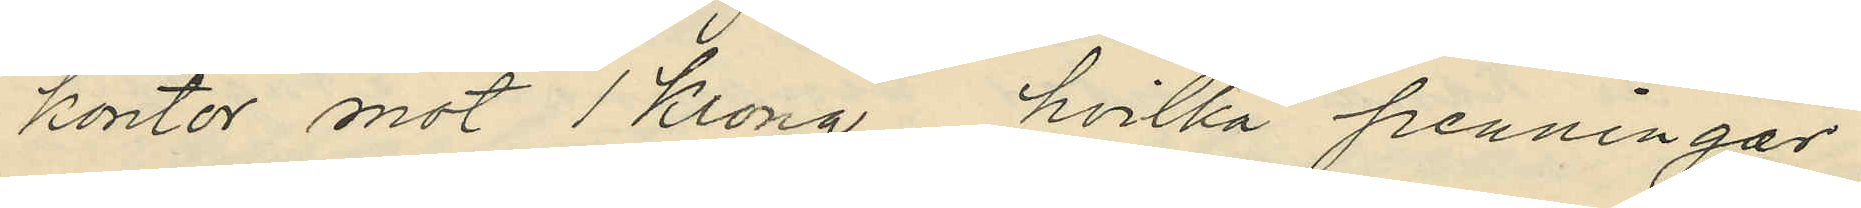kontor mot 1 krona, hvilka penningar
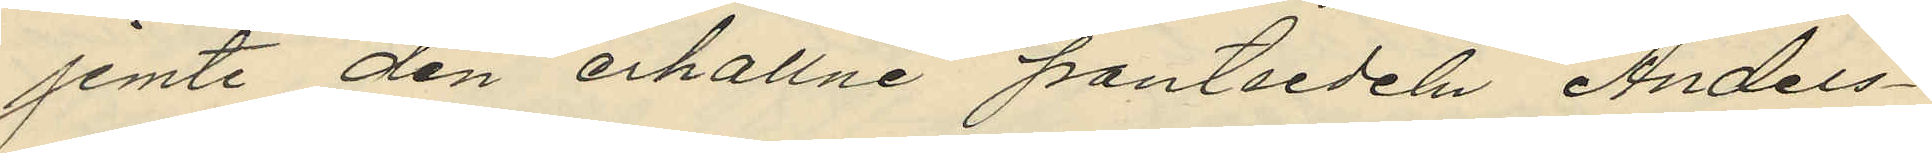jemte den erhållne pantsedeln, Anders¬
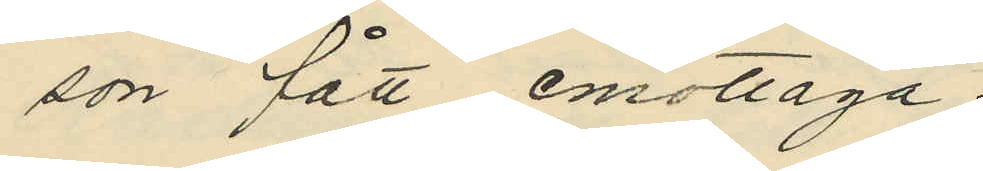son fått emottaga;
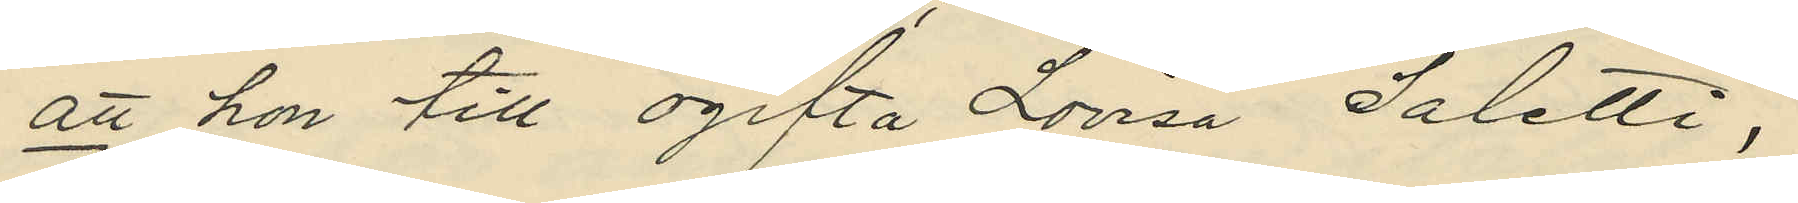att hon till ogifta Lovisa Saletti,
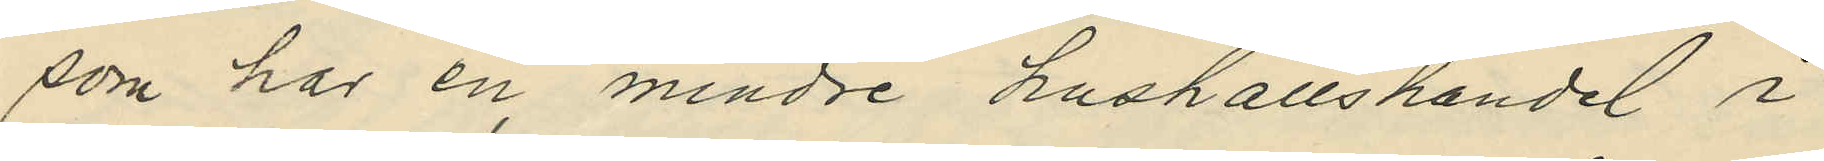som har en mindre hushållshandel i
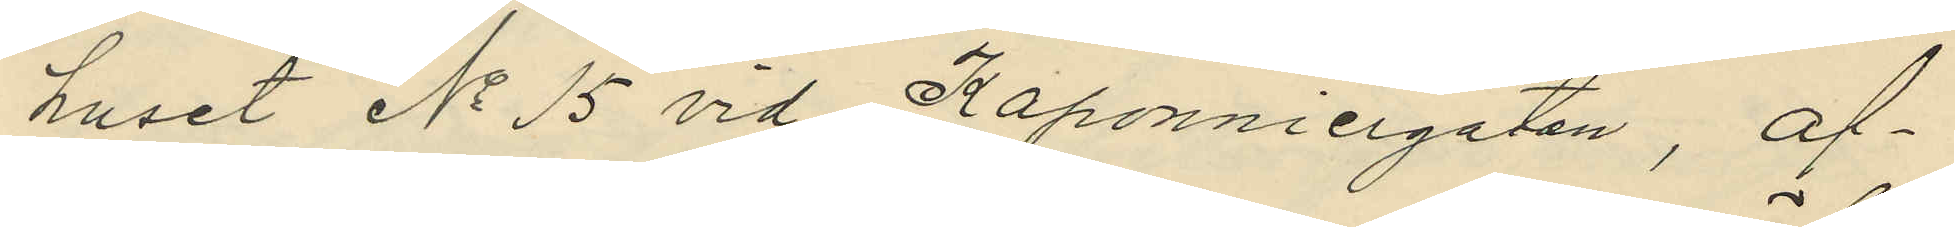huset No 15 vid Kaponniergatan, af¬
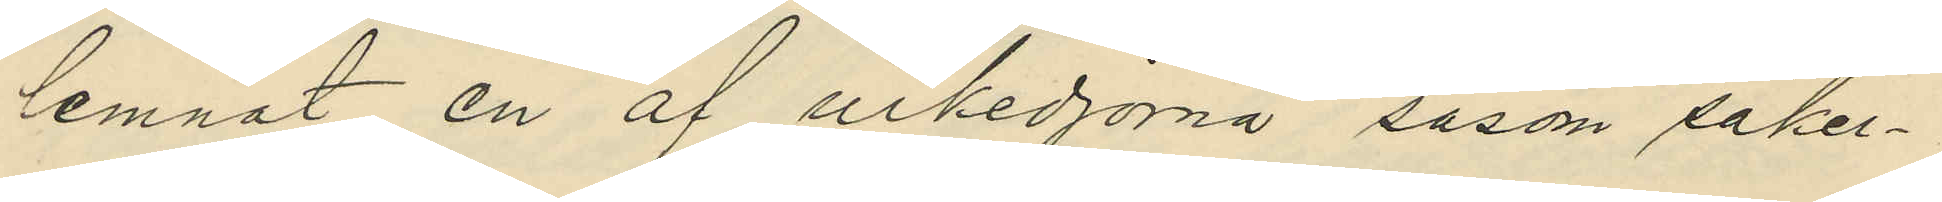lemnat en af urkedjorna såsom säker¬
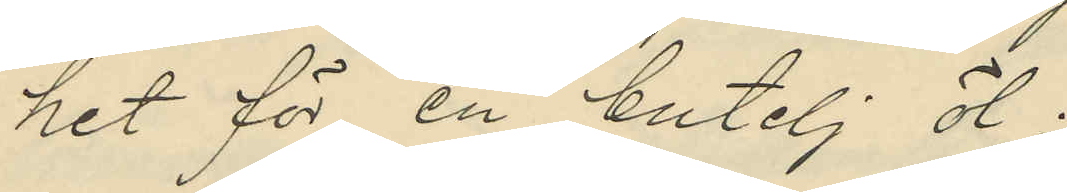het för en butelj öl;
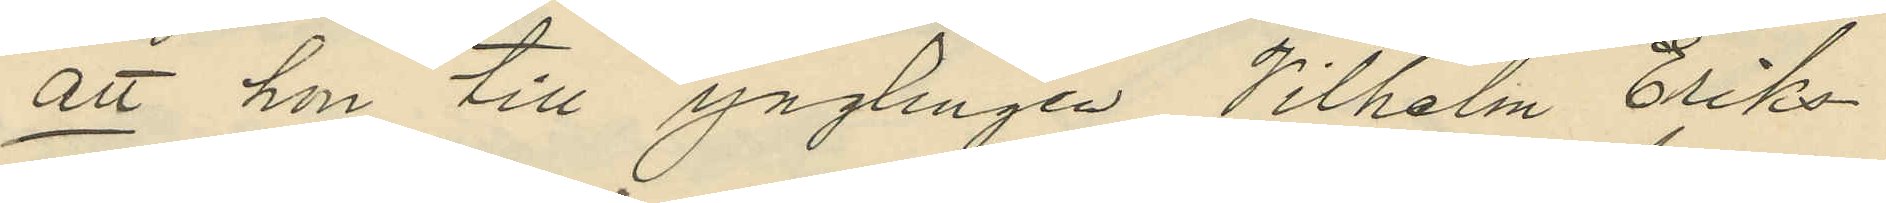att hon till ynglingen Vilhelm Eriks¬
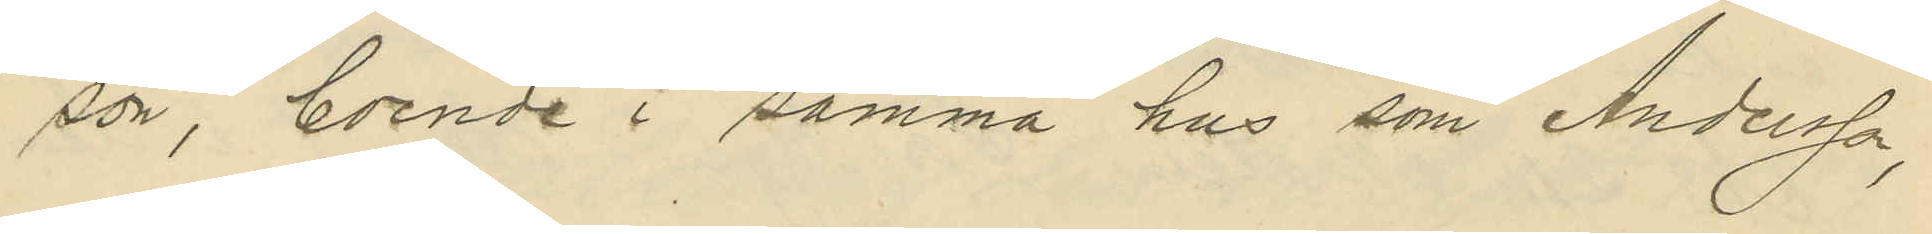son, boende i samma hus som Andersson,
